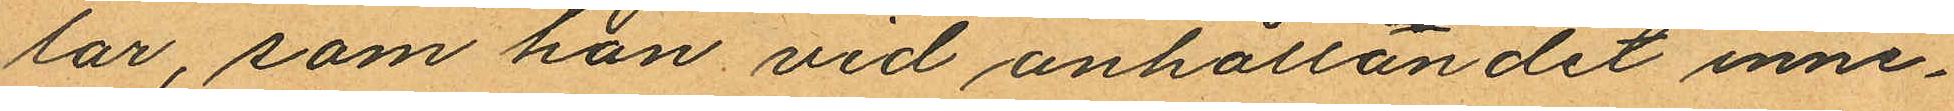lar, som han vid anhållandet inne¬
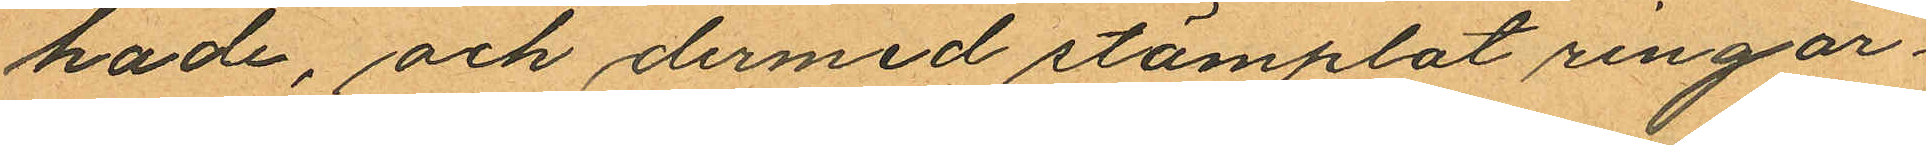hade, och dermed stämplat ringar¬
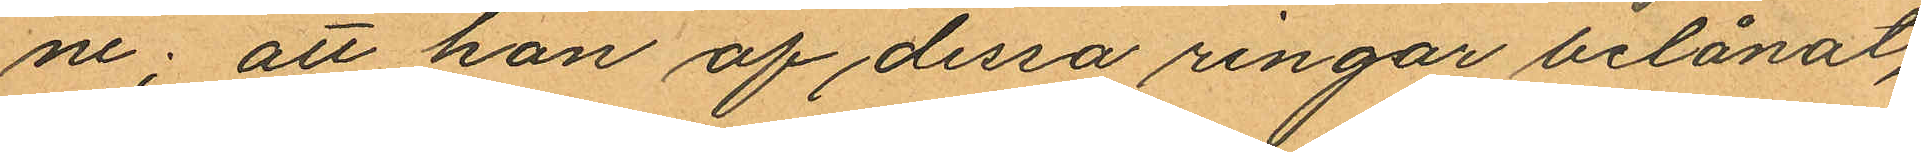ne; att han af dessa ringar belånat,
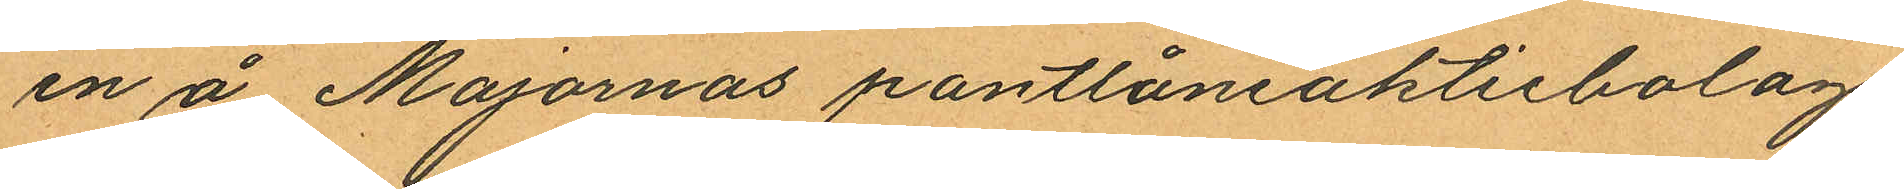en å Majornas pantlåneaktiebolags
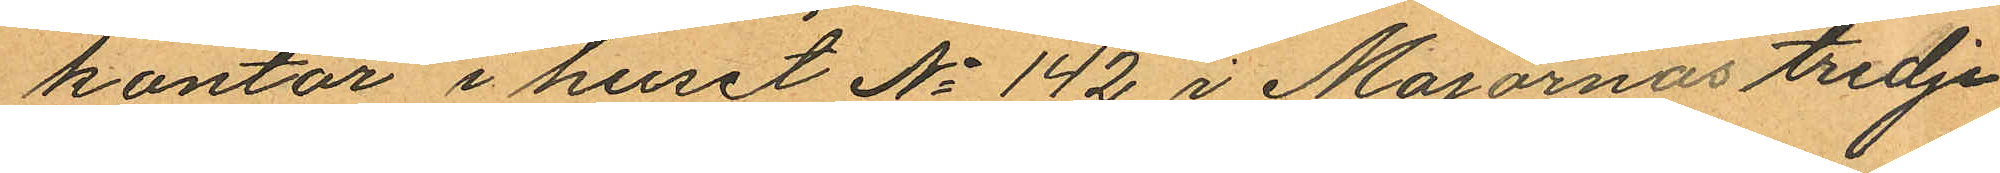kontor i huset No 142 i Majornas tredje
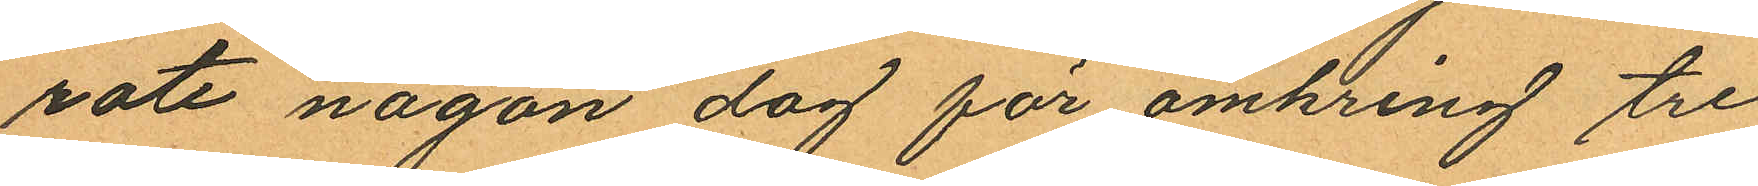rote någon dag för omkring tre
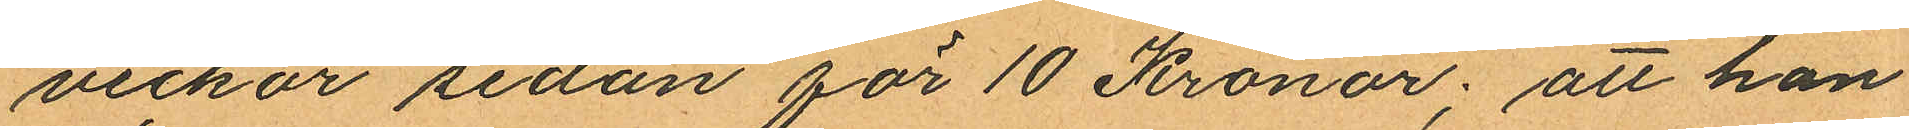veckor sedan för 10 Kronor; att han
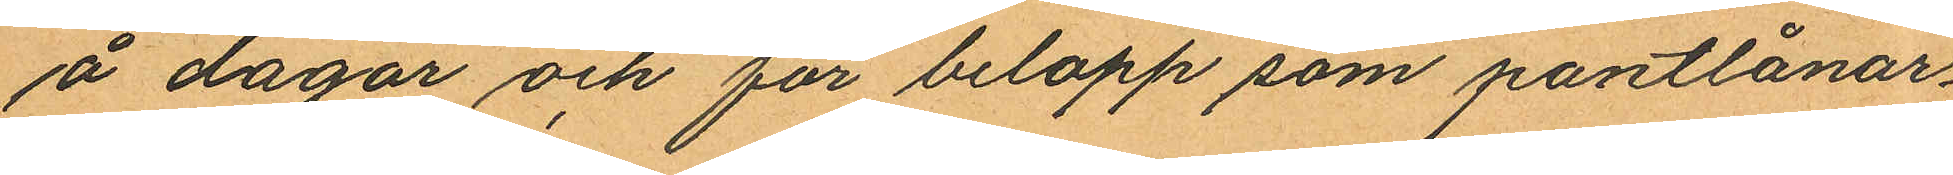å dagar och för belopp som pantlånar¬
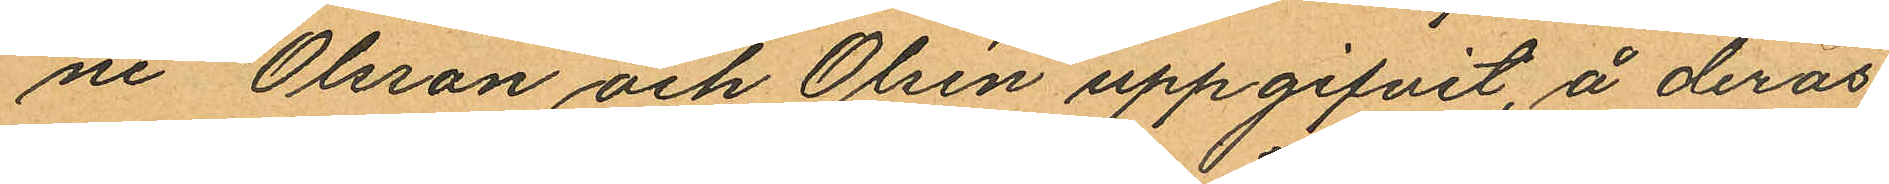ne Olsson och Olsén uppgifvit, å deras
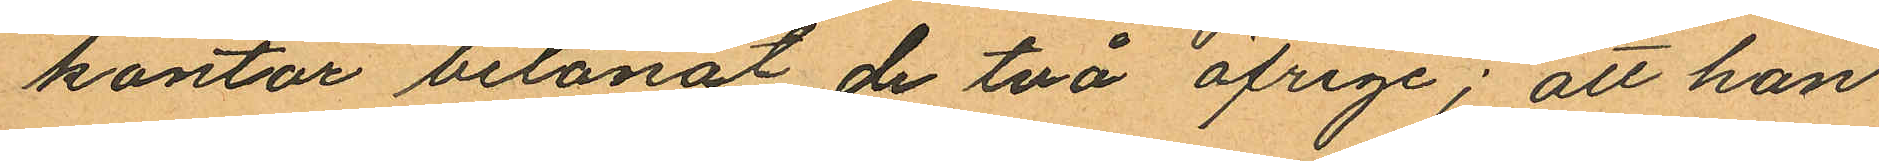kontor belånat de två öfrige; att han
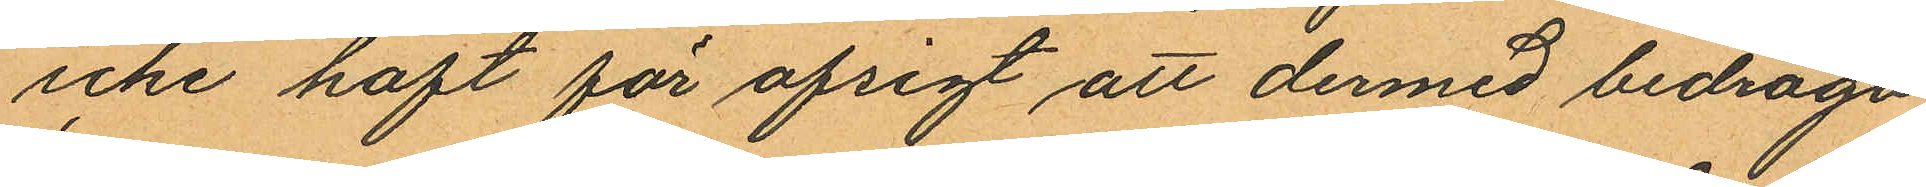icke haft för afsigt att dermed bedraga
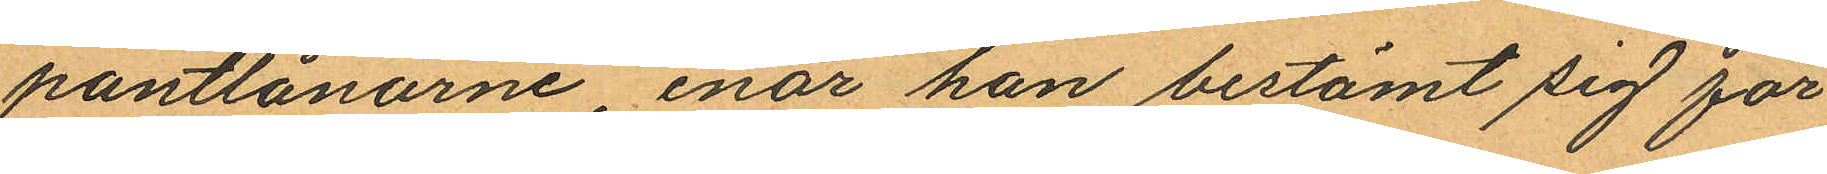pantlånarne, enär han bestämt sig för
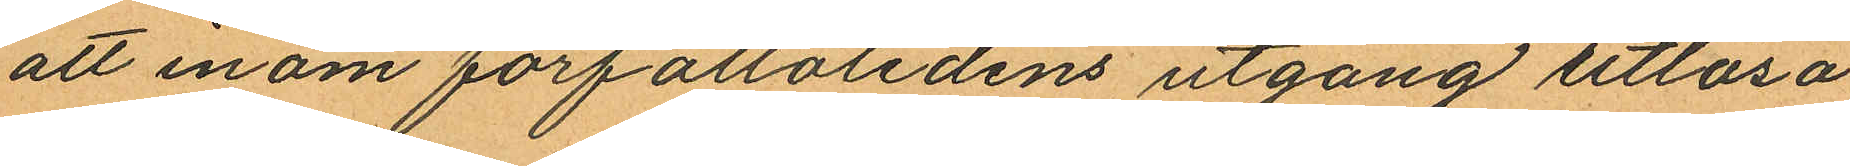att inom förfallotidens utgång utlösa
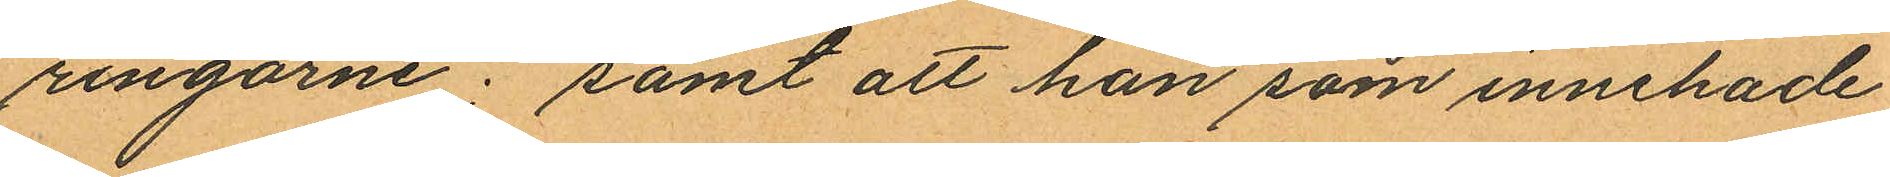ringarne; samt att han som innehade
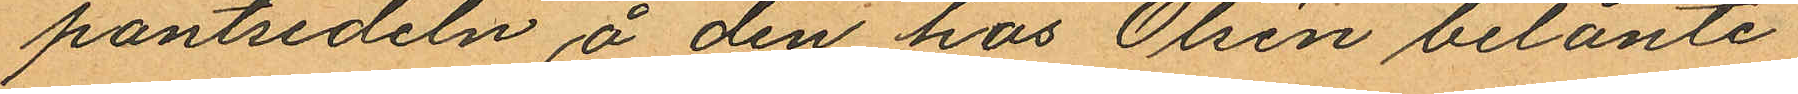pantsedeln å den hos Olsén belånte
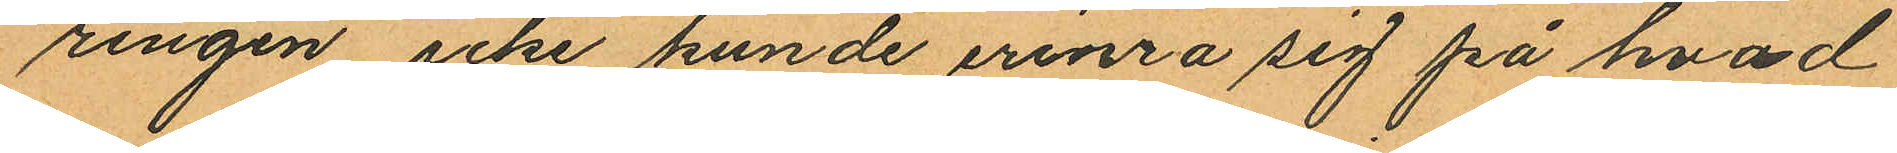ringen icke kunde erinra sig på hvad
